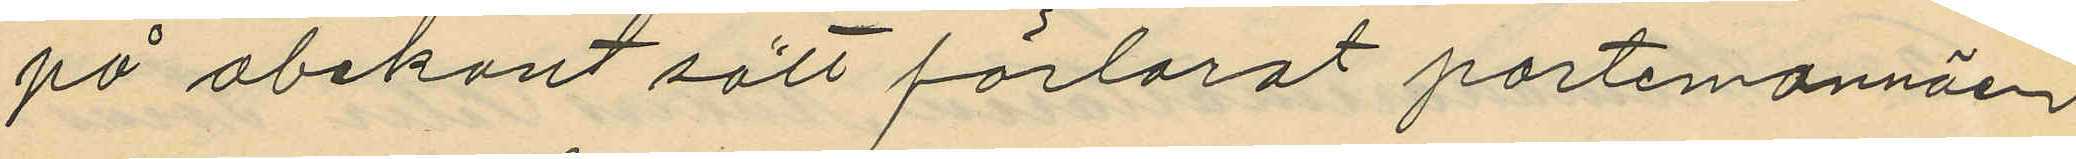på obekant sätt förlorat portmonnäen
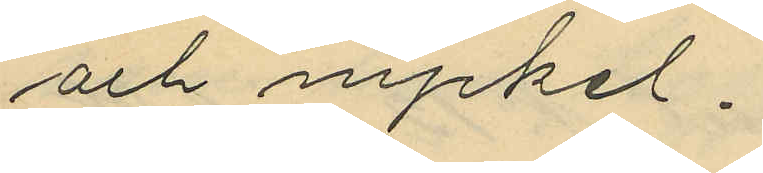och nyckel.
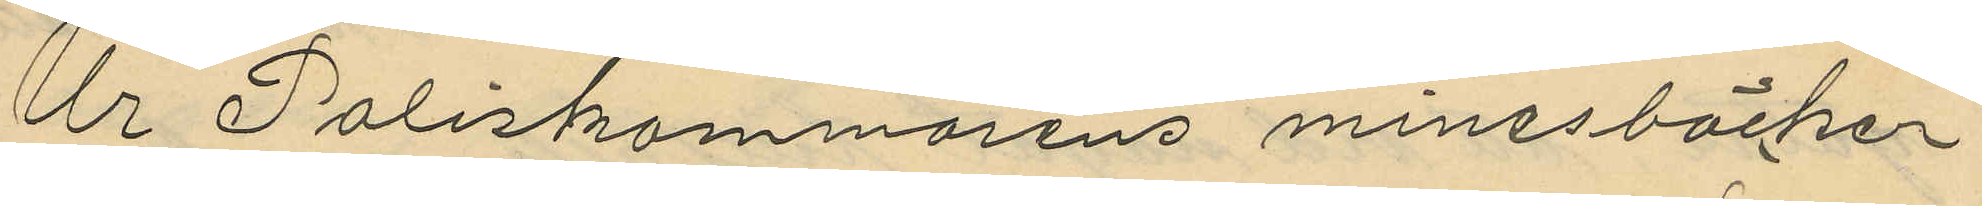Ur Poliskammarens minesböcker
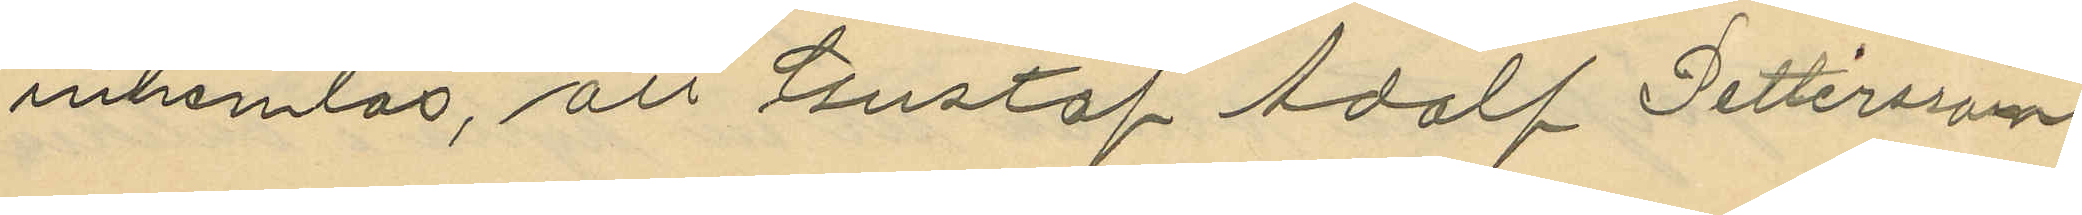inhemlas, att Gustaf Adolf Pettersson
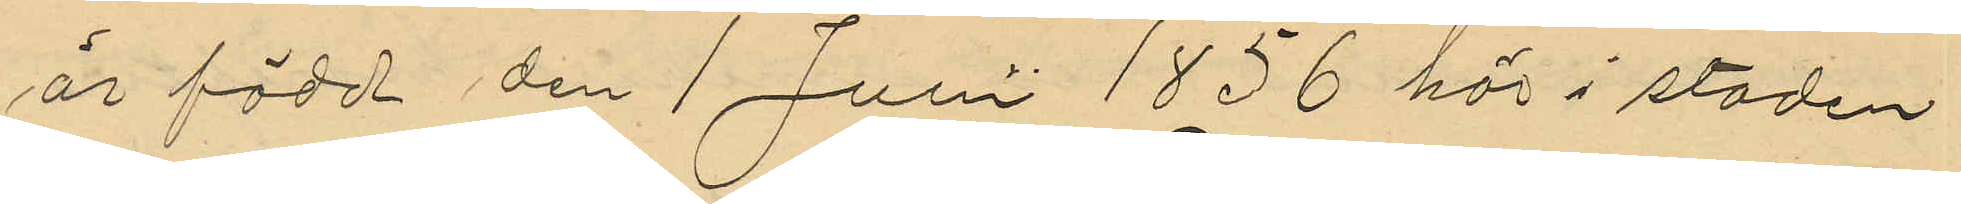är född den 1 Juni 1836 här i staden
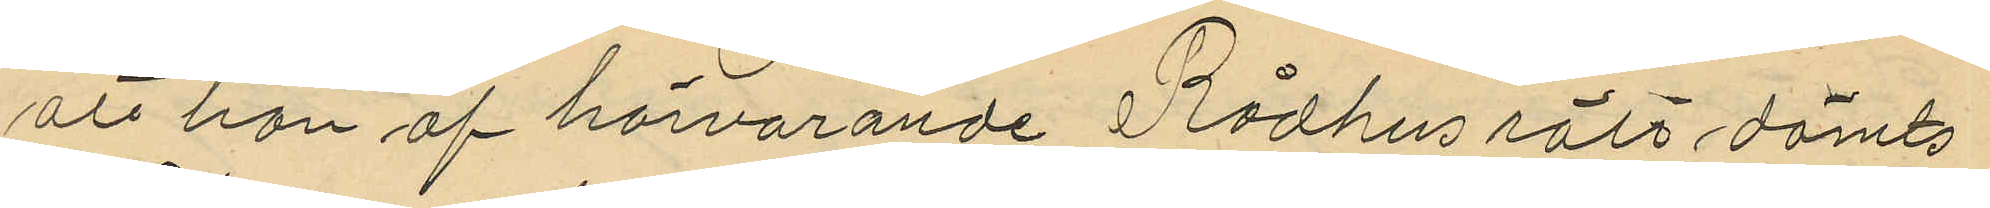att han af härvarande Rådhusrätt dömts
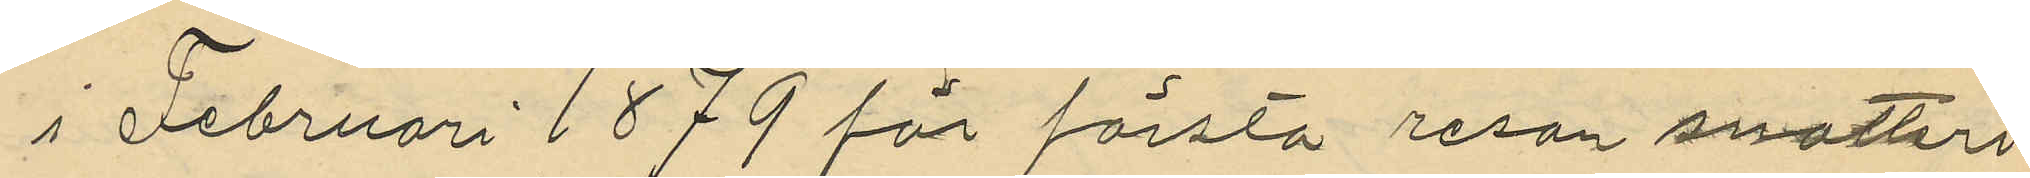i Februari 1879 för första resan snatteri
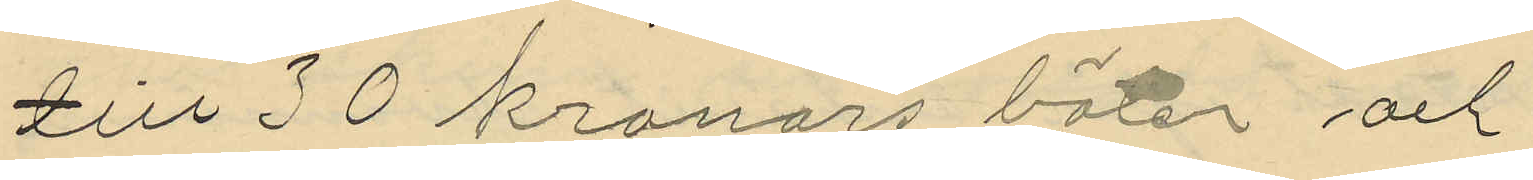till 30 kronors böter och
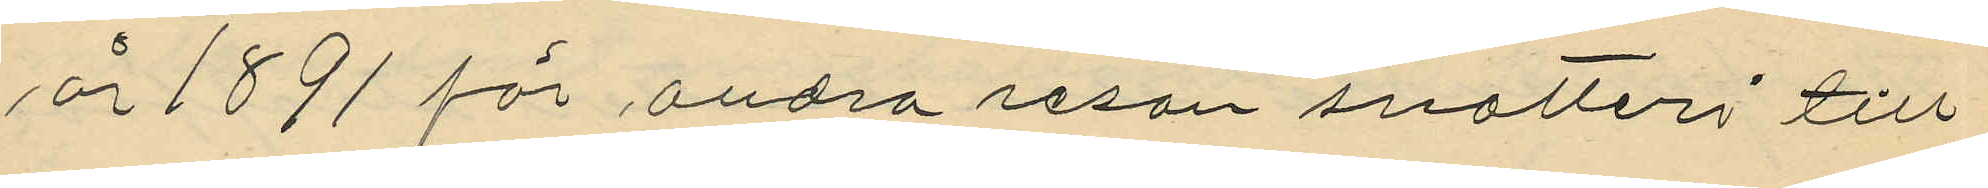år 1891 för andra resan snatteri till
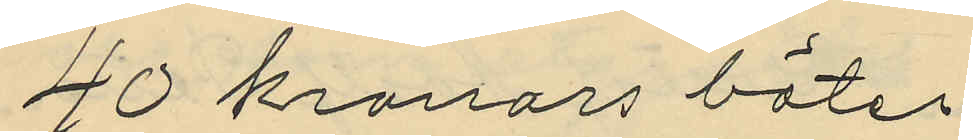40 kronors böter
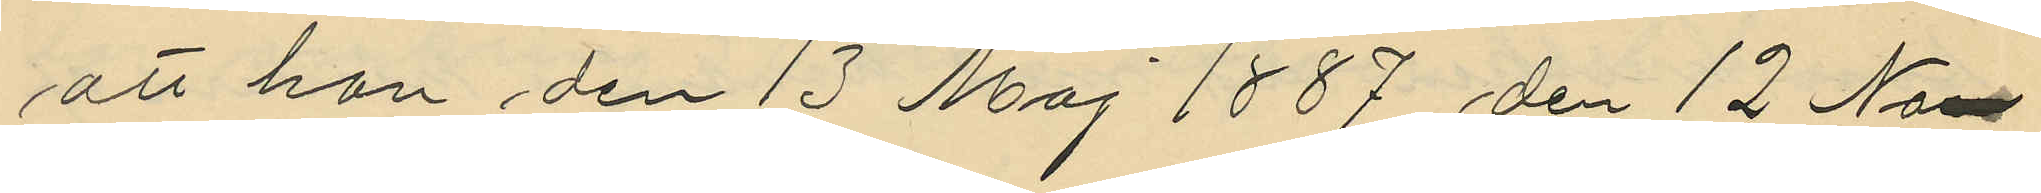att han den 13 Maj 1887 den 12 No¬
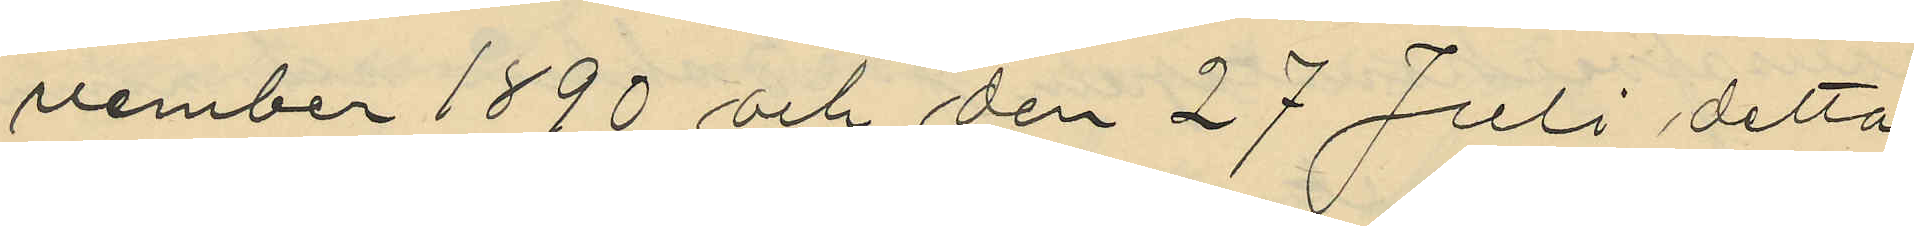vember 1890 och den 27 Juli detta
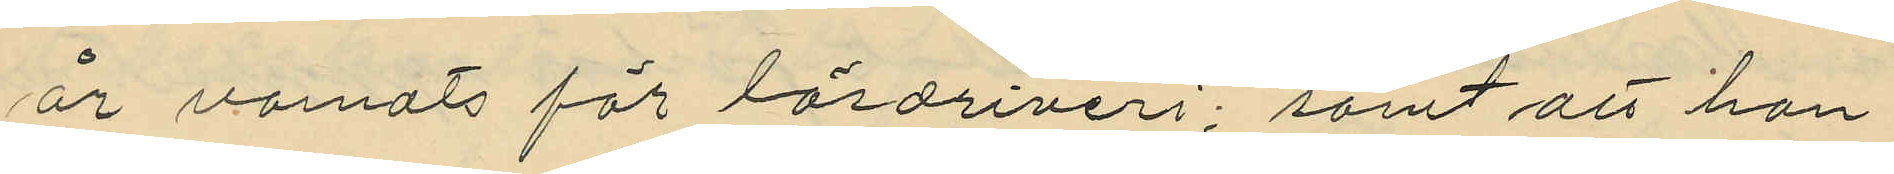år varnats för lösdriveri; samt att han
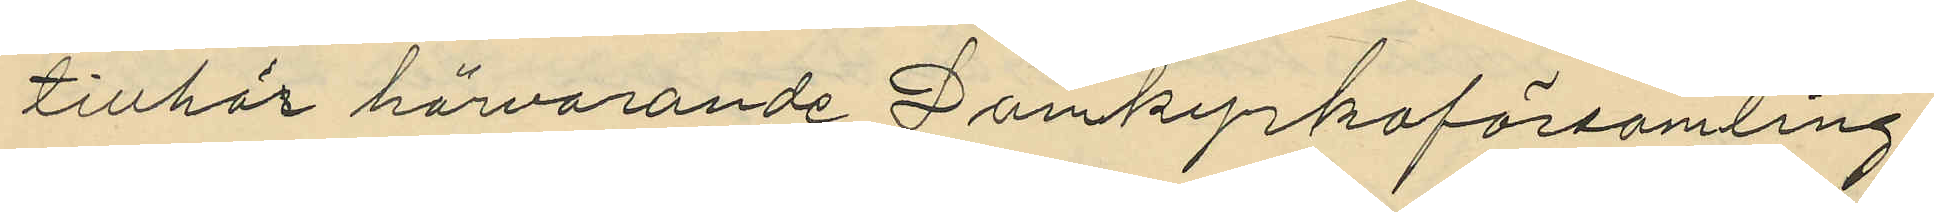tillhör härvarande Domkyrkoförsamling
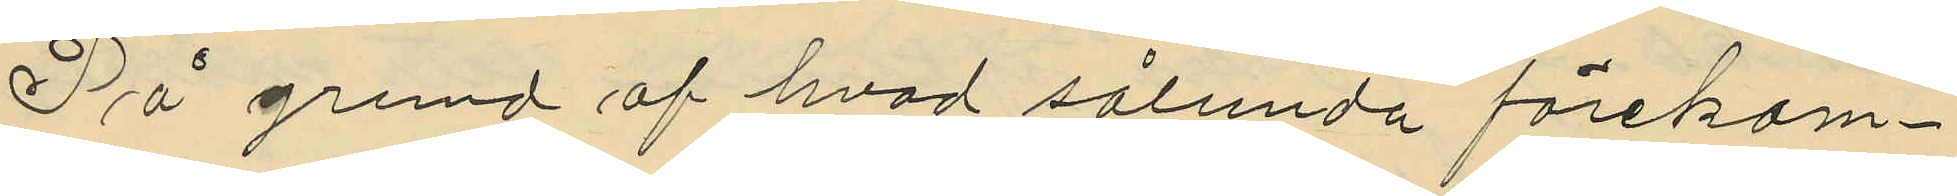På grund af hvad sålunda förekom¬
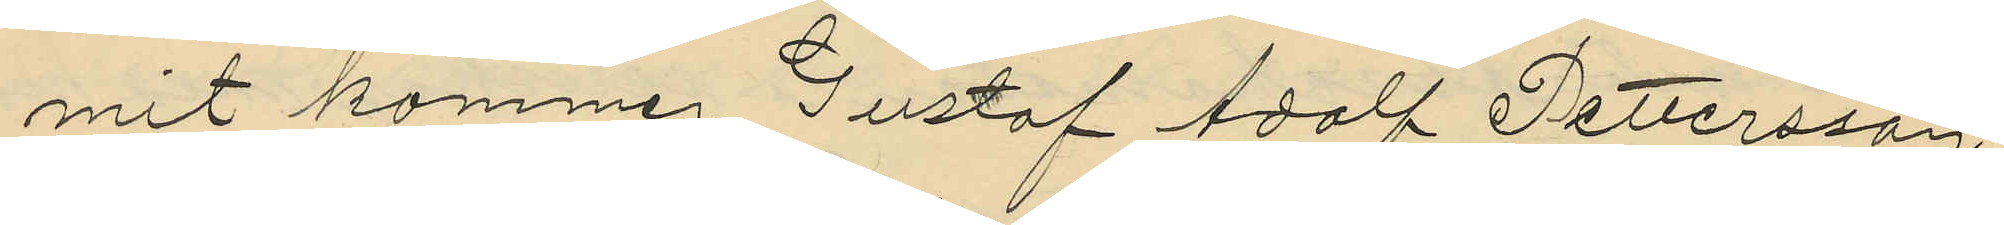mit kommer Gustaf Adolf Pettersson
